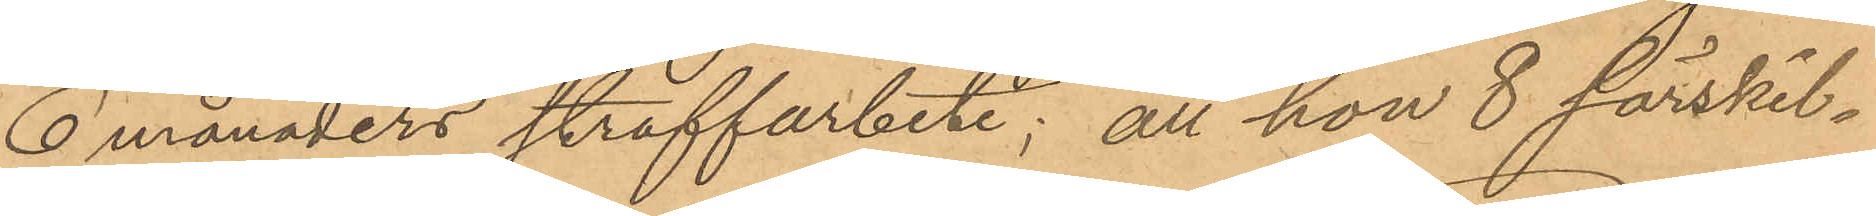6 månaders straffarbete; att hon 8 särskil¬
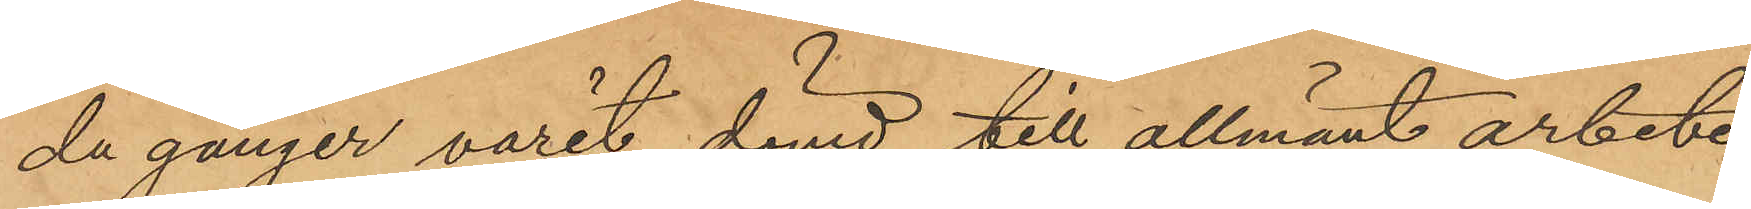da gånger varit dömd till allmänt arbete,
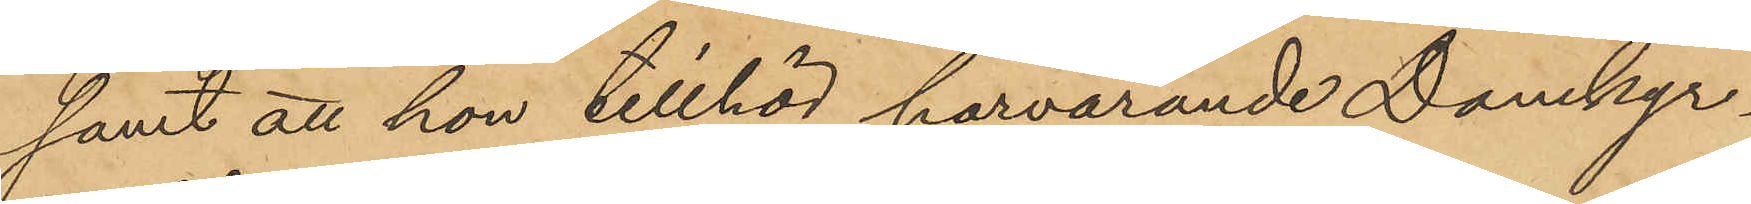samt att hon tillhör härvarande Domkyr¬
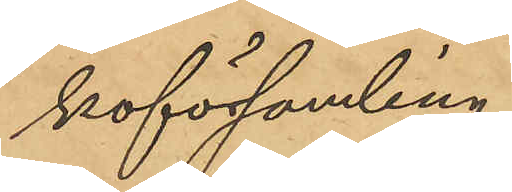koförsamling.
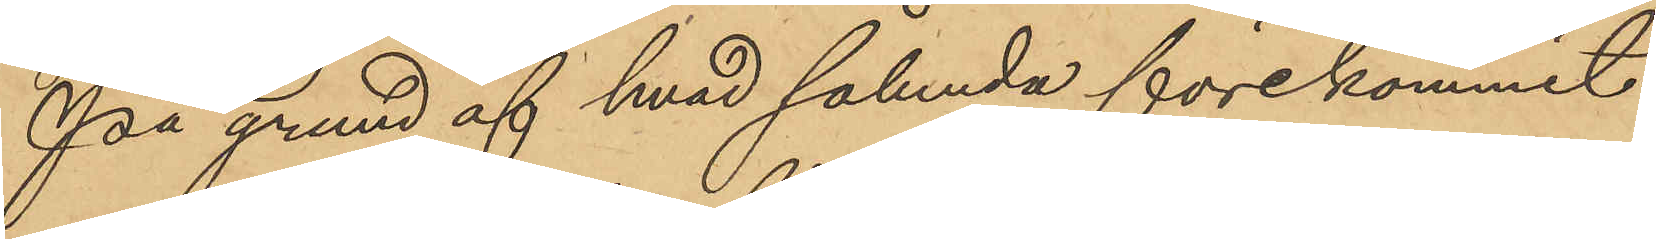På grund af hvad sålunda förekommit
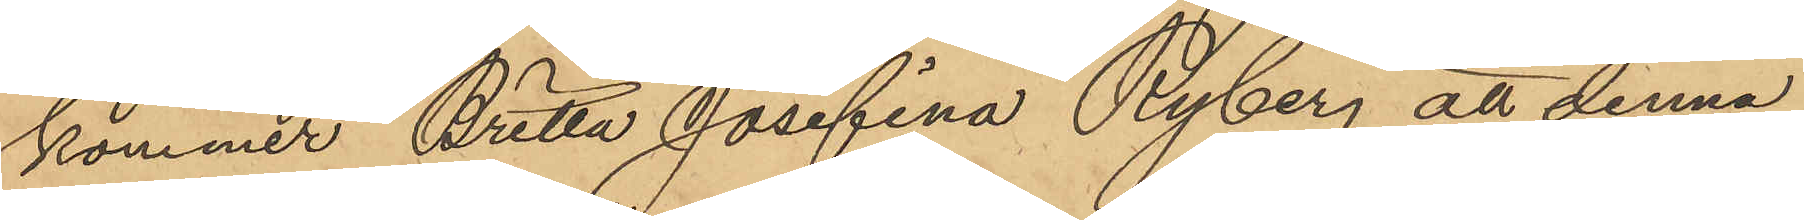kommer Britta Josefina Ryberg att denna
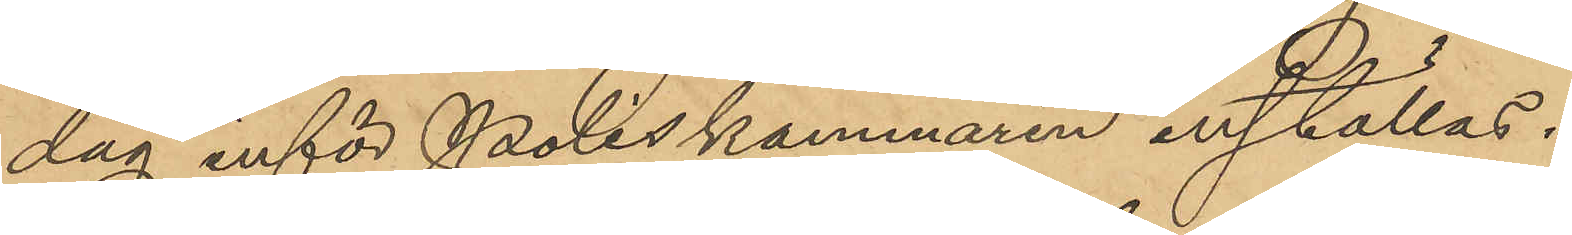dag inför Poliskammaren inställas.
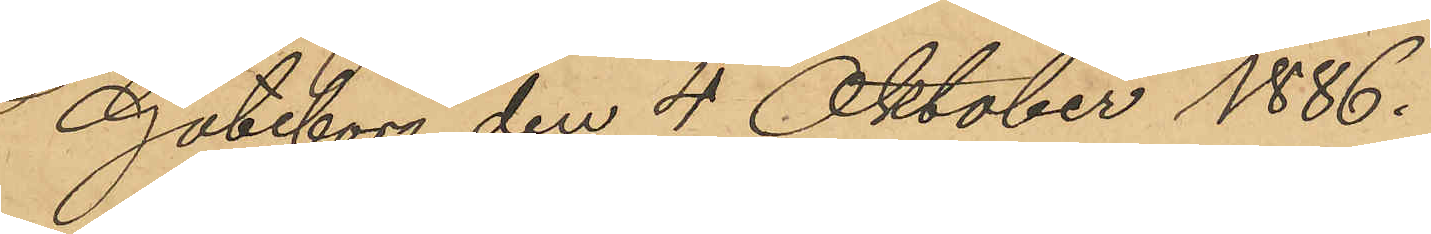Göteborg den 4 Oktober 1886.
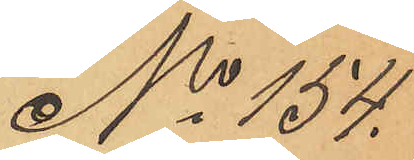No 154
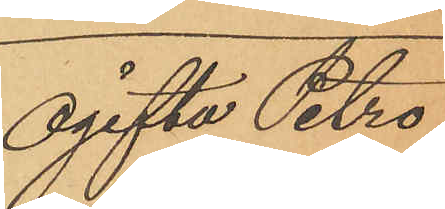Ogifta Petro¬
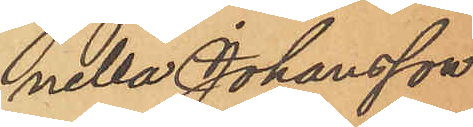hella Johansson
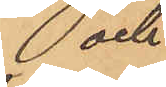och
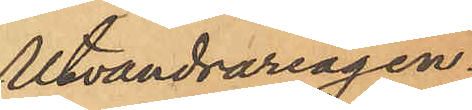Utvandrareagen¬
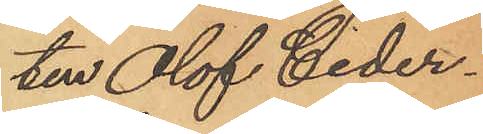ten Olof Ceder¬
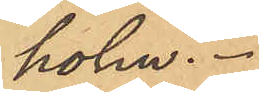holm.
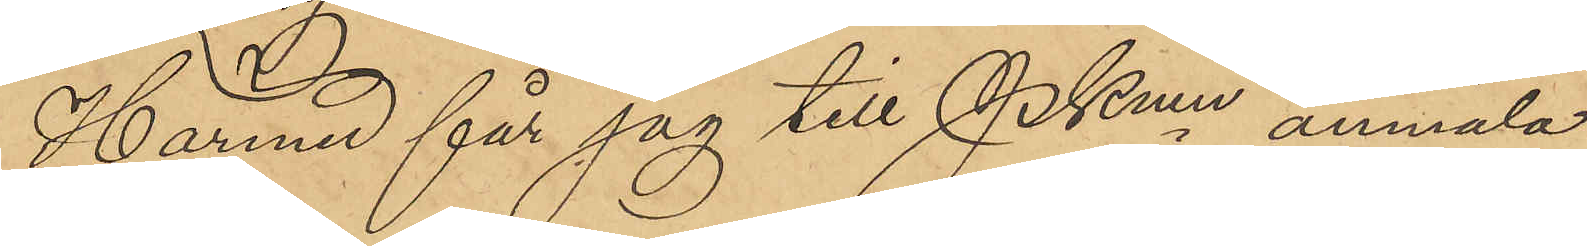Härmed får jag till Pkmn anmäla
